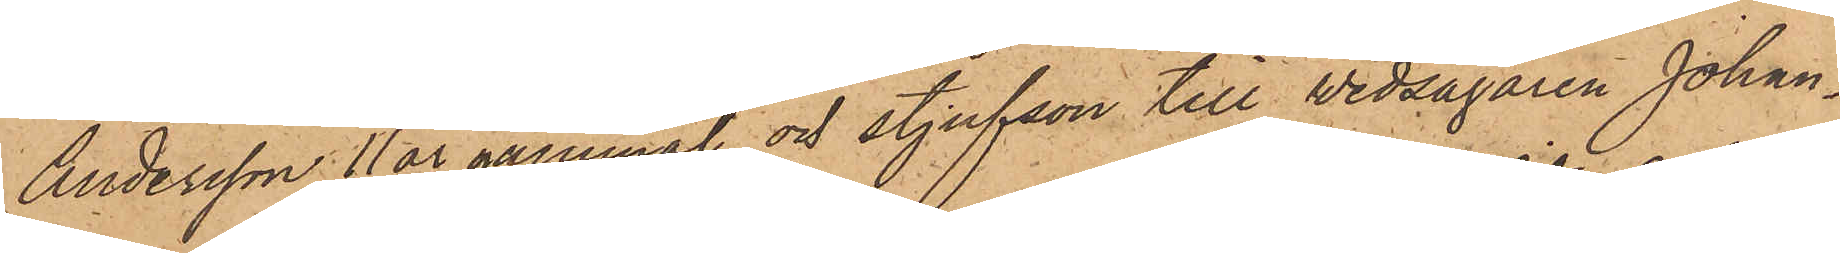Andersson 11 år gammal och styfson till Wedsågaren Johan¬
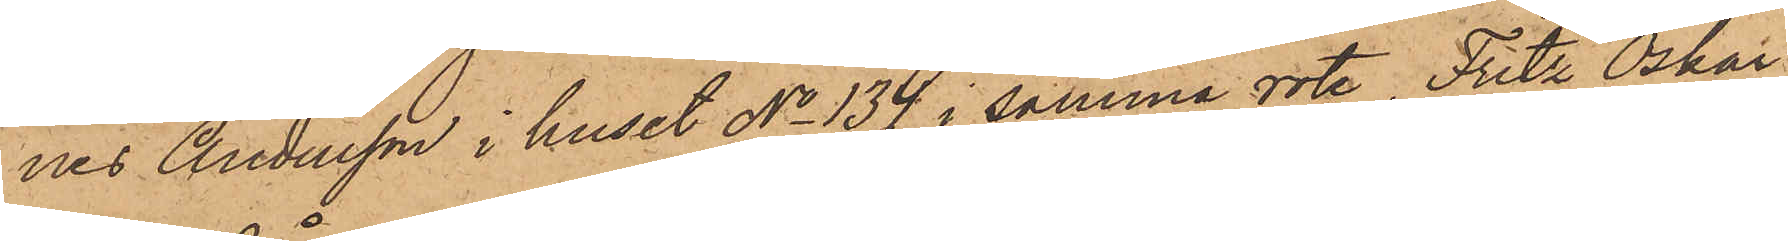nes Andersson i huset No 134 i samma rote, Fritz Oskar
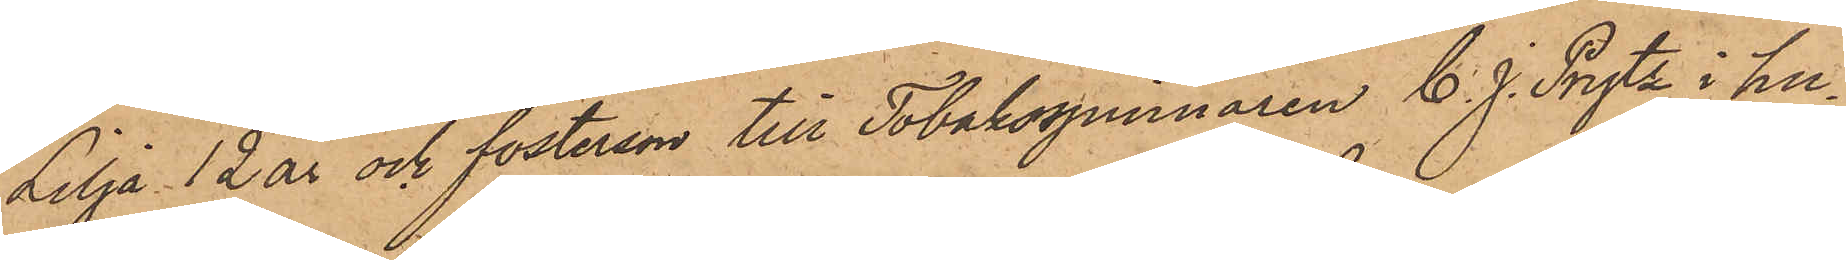Lilja 12 år och fosterson till Tobaksspinnaren C. J. Prytz i hu¬
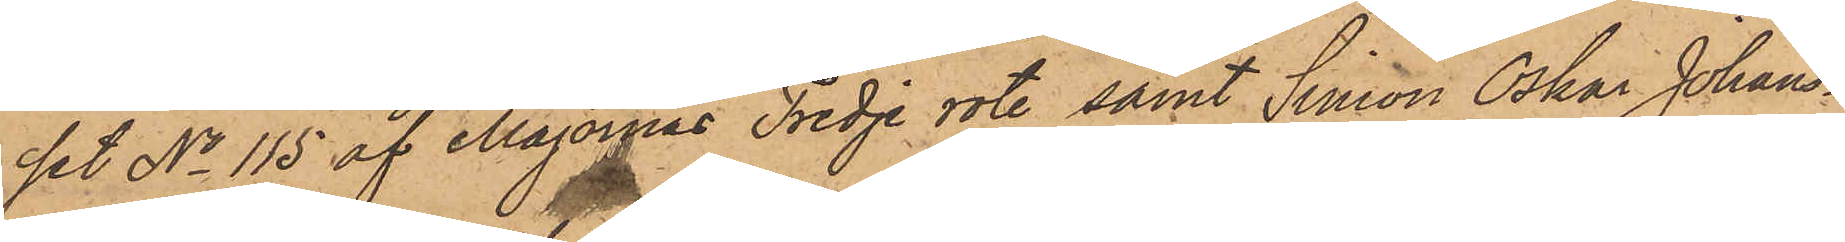set No 115 af Majornas Tredje rote samt Simon Oskar Johans¬
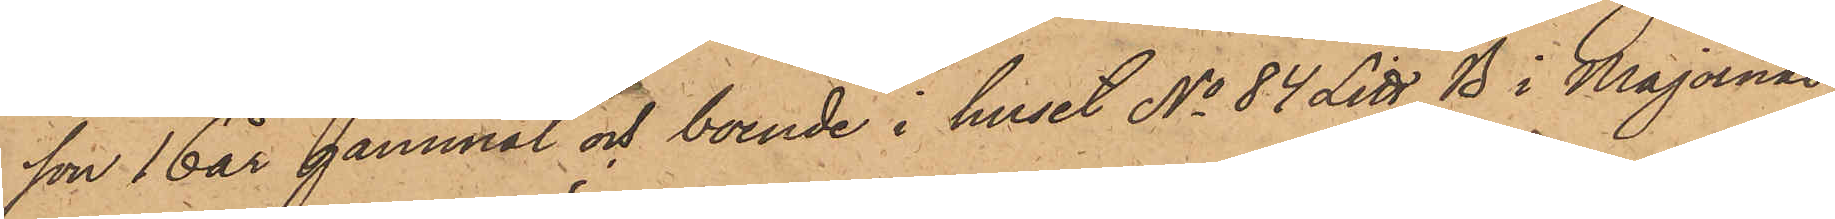son 16 år gammal och boende i huset No 84 Litt. B i Majornas
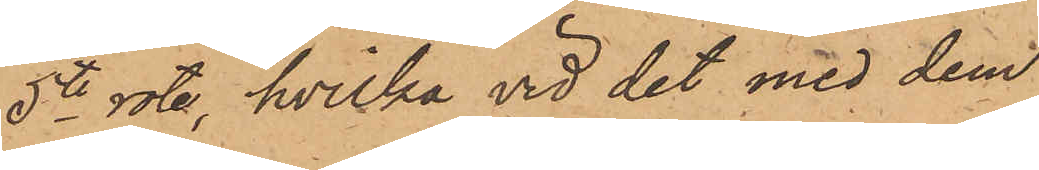5te rote, hvilka vid det med dem
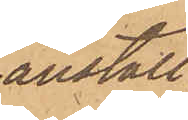anställ¬
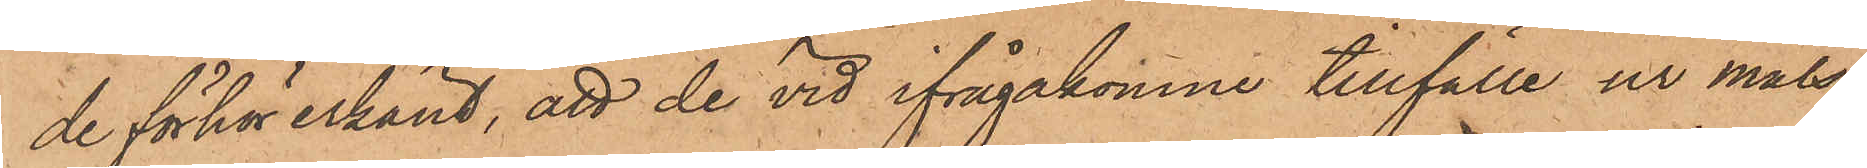de förhör erkänt, att de vid ifrågakomne tillfälle ur måls¬
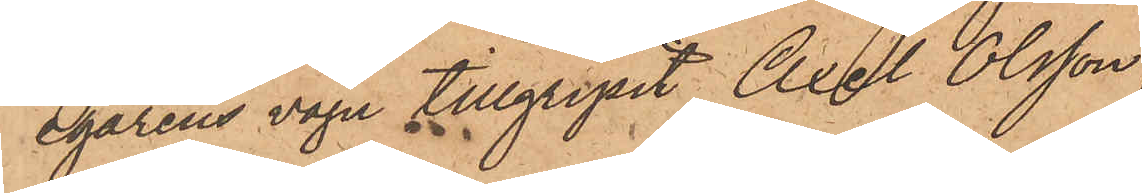egarens vagn tillgripit Axel Olsson,
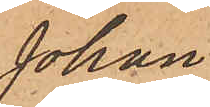Johan
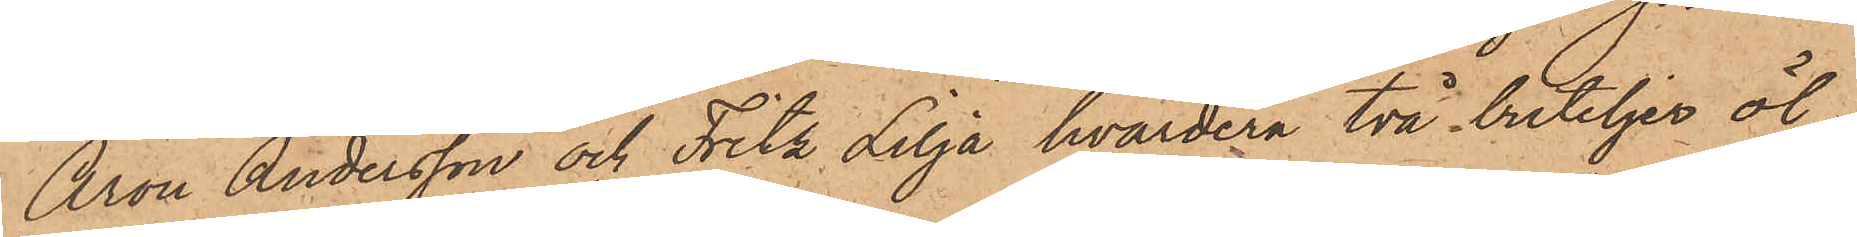Aron Andersson och Fritz Lilja hvardera två buteljer öl;
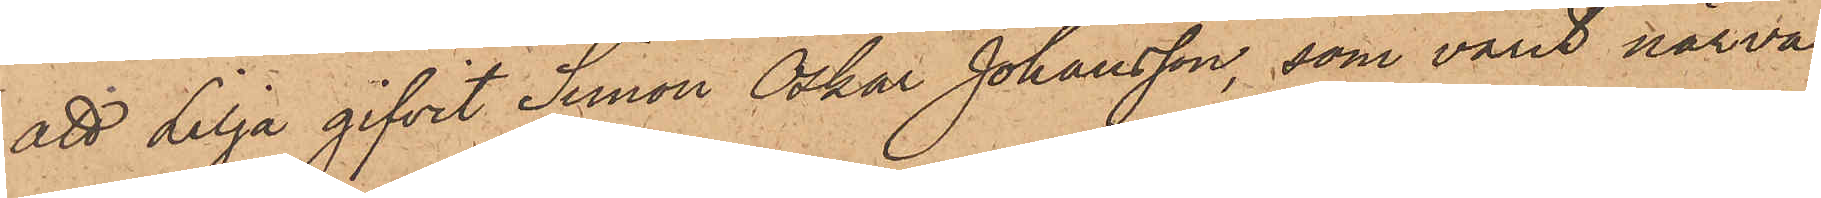att Lilja gifvit Simon Oskar Johansson, som varit närva¬
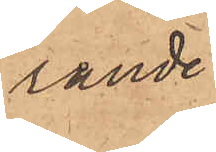rande
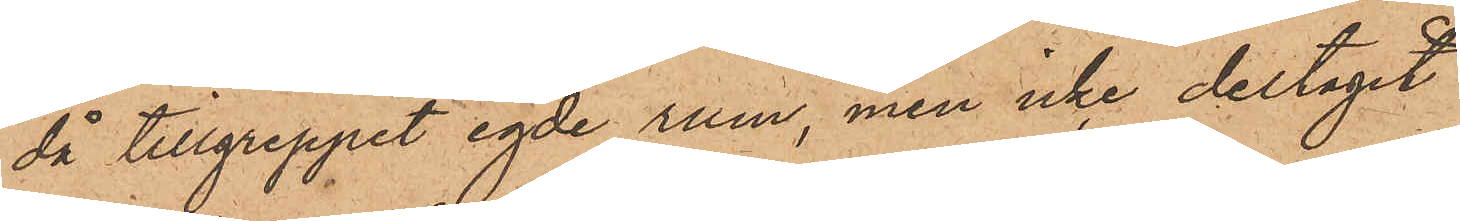då tillgreppet egde rum, men icke deltagit
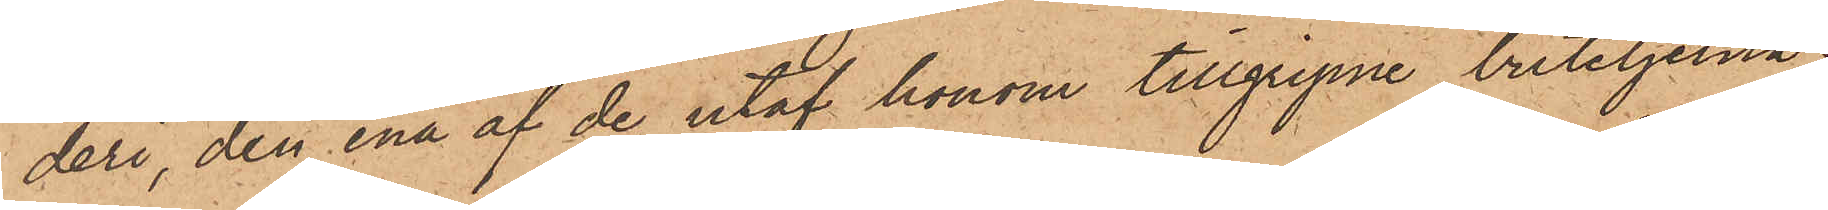deri, den ena af de utaf honom tillgripne buteljerna;
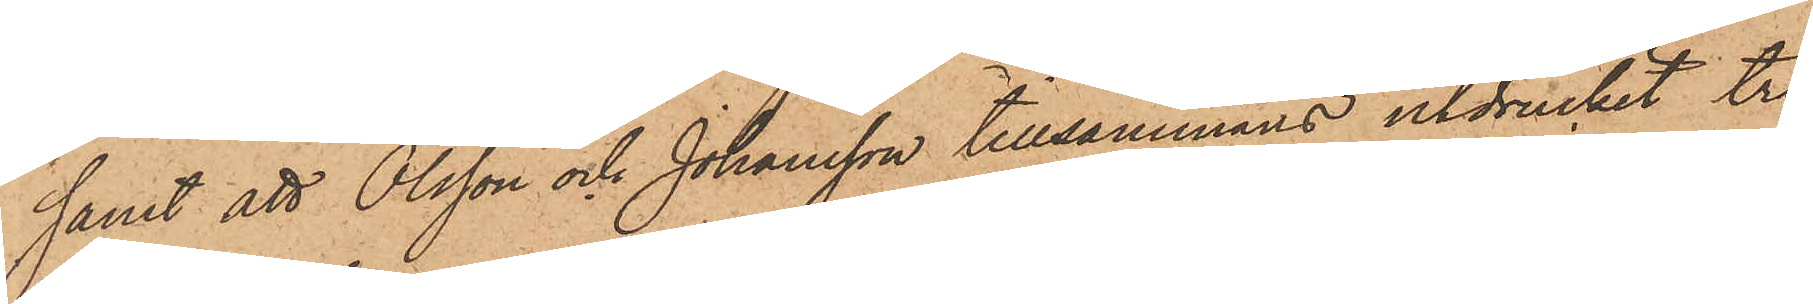samt att Olsson och Johansson tillsammans utdruckit tre
